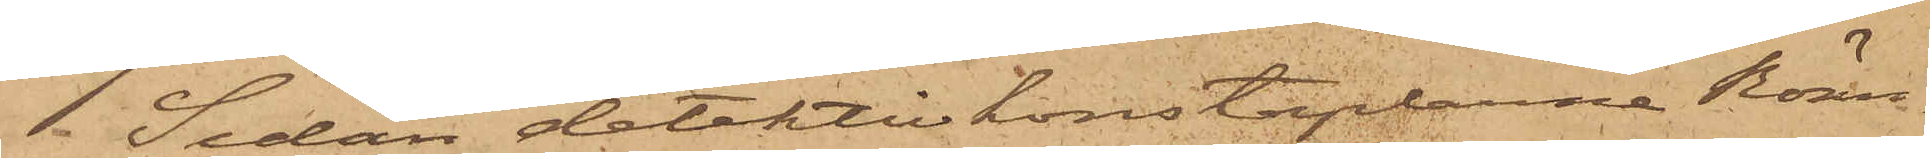Sedan detektivkonstaplarne Rönn¬
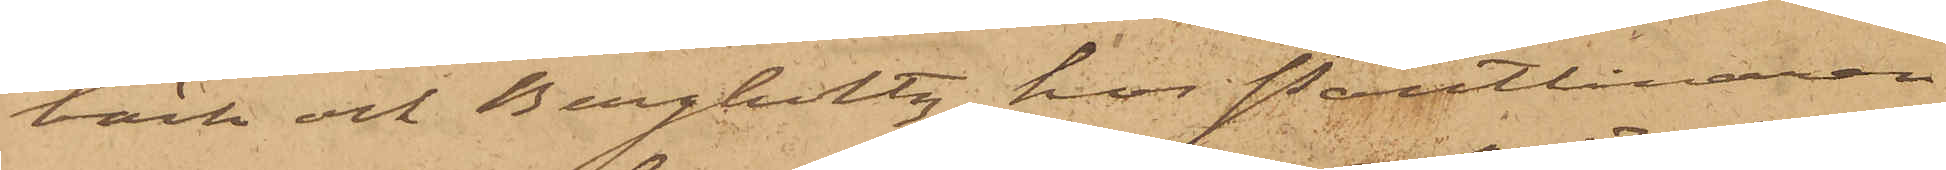bäck och Bergholtz hos Pantlånaren
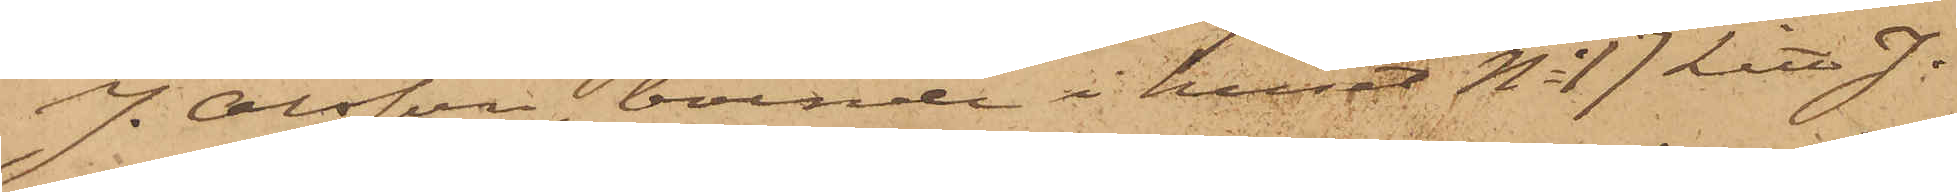J. Olsson, boende i huset No 17 Litt J.
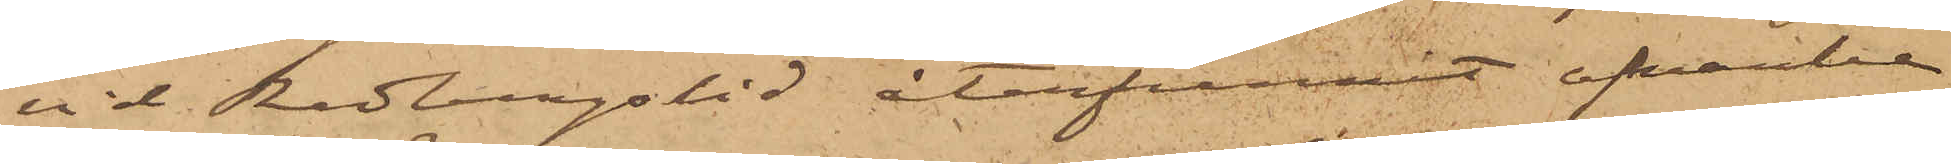vid Redbergslid återfunnit ofvanbe¬
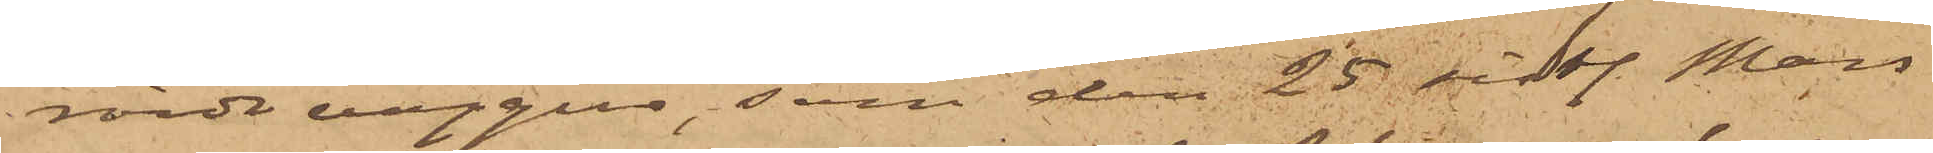rörde väggur, som den 25 sistl. Mars
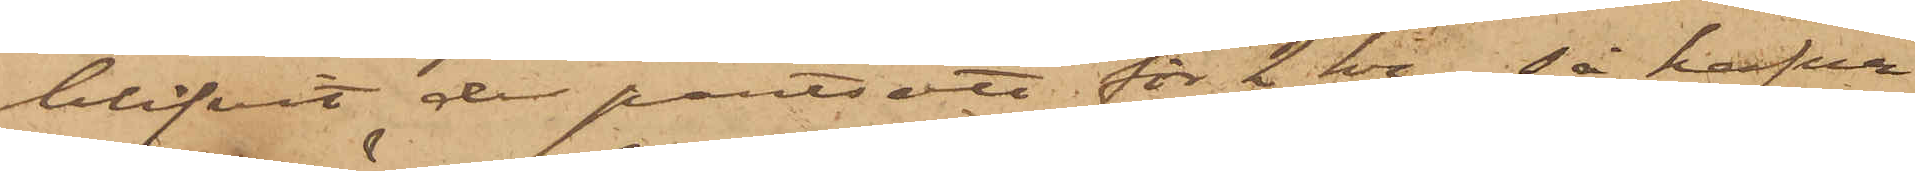blifvit de pantsatt för 2 kr., så hafva
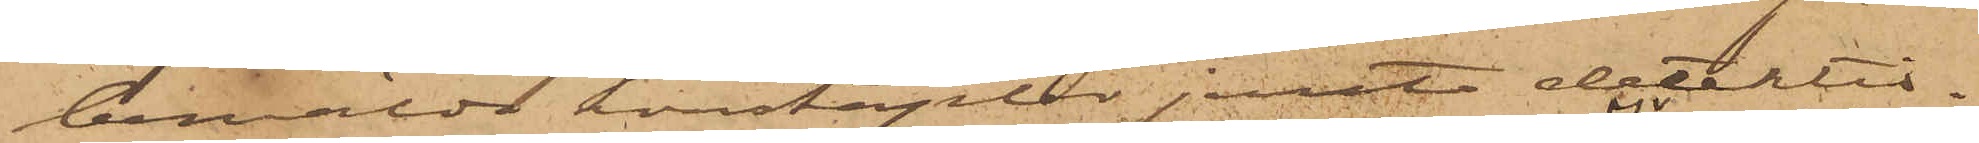bemälda konstaplar jemte detektiv¬
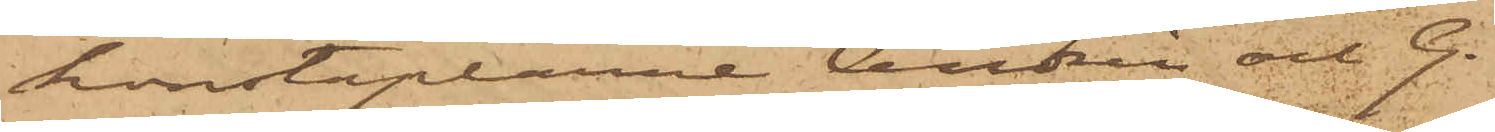konstaplarne Andrén och G.
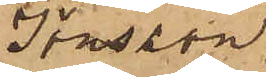Jönsson
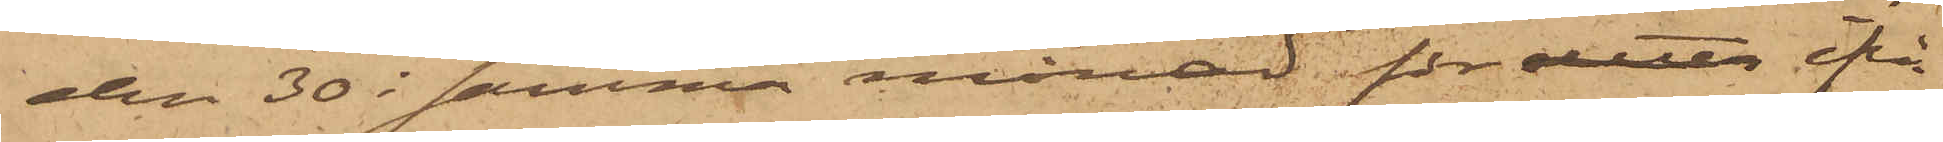den 30 i samma månad för detta ifrå¬
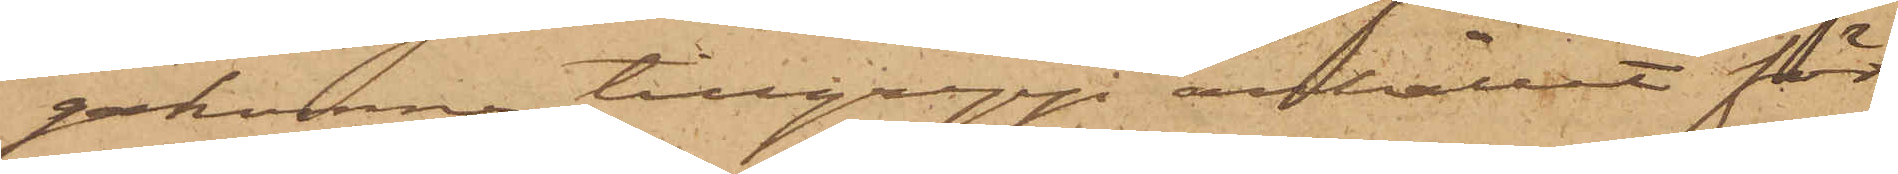gakomne tillgrepp anhållit för
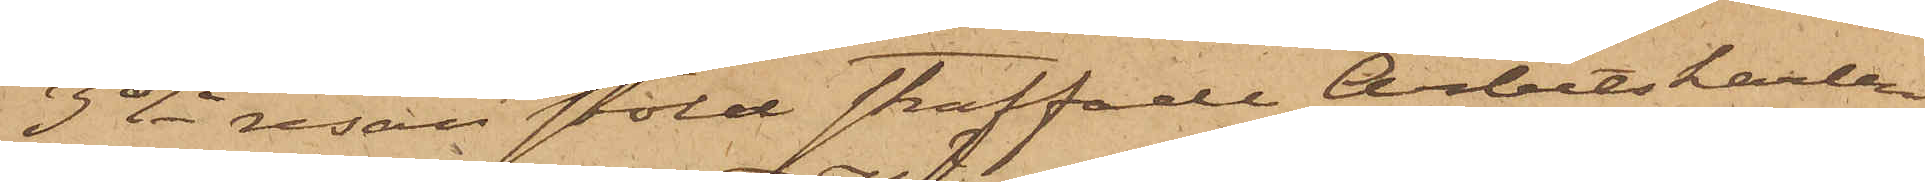3dje resan stöld straffade Arbetskarlen
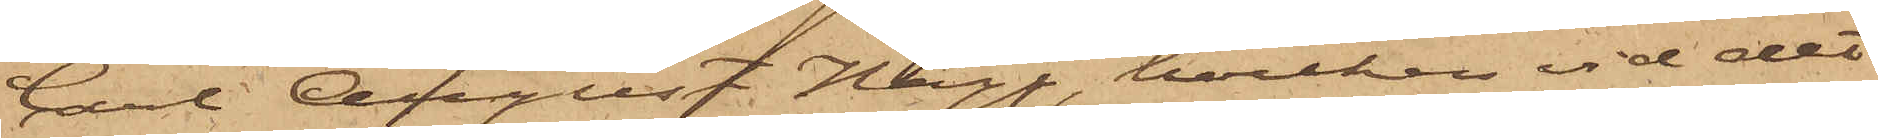Carl August Hägg, hvilken vid det
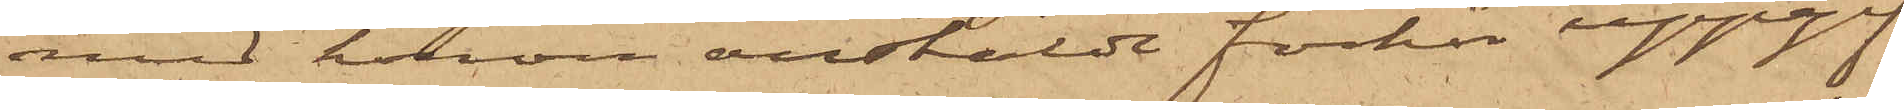med honom anstäldt förhör uppgif¬
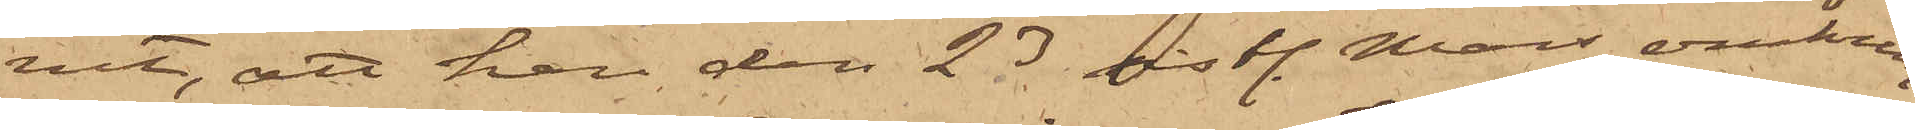vit, att han den 23 sistl. Mars omkring
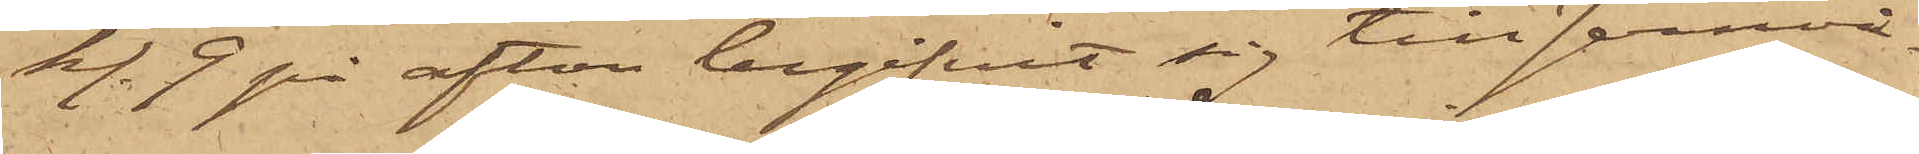kl. 9 på afton begifvit sig till Jernvå¬
